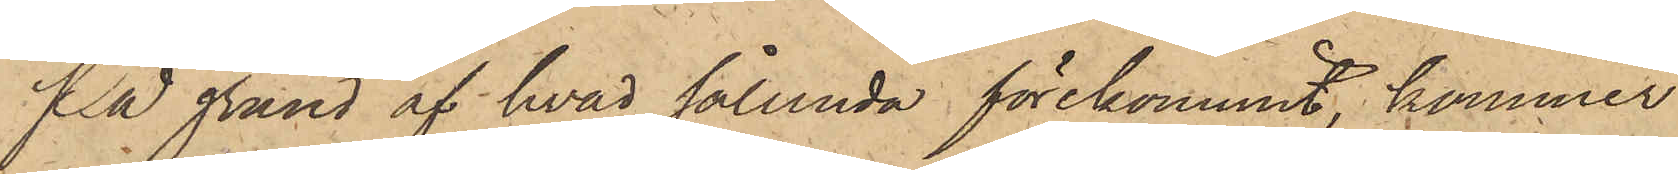På grund af hvad sålunda förekommit, kommer
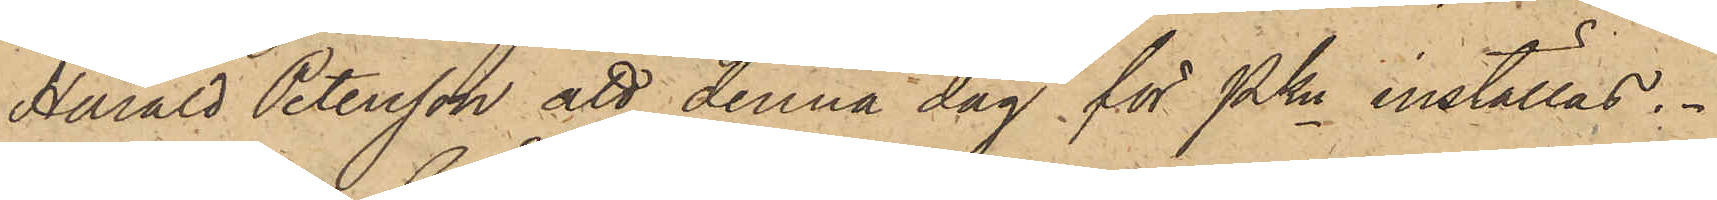Harald Petersson att denna dag för PKn inställas.
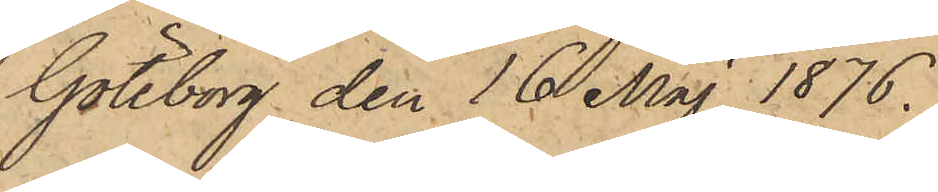Göteborg den 16 Maj 1876.
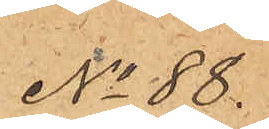No 88.
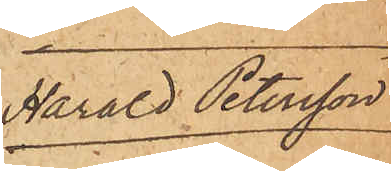Harald Petersson
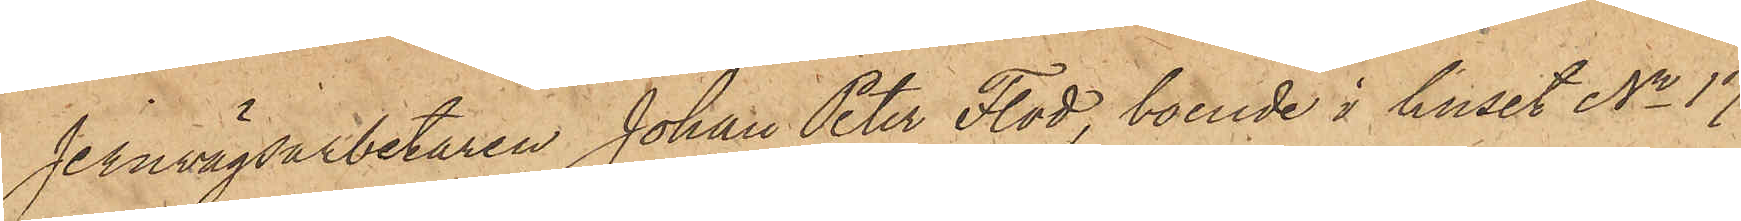Jernvägsarbetaren Johan Peter Flod, boende i huset No 17
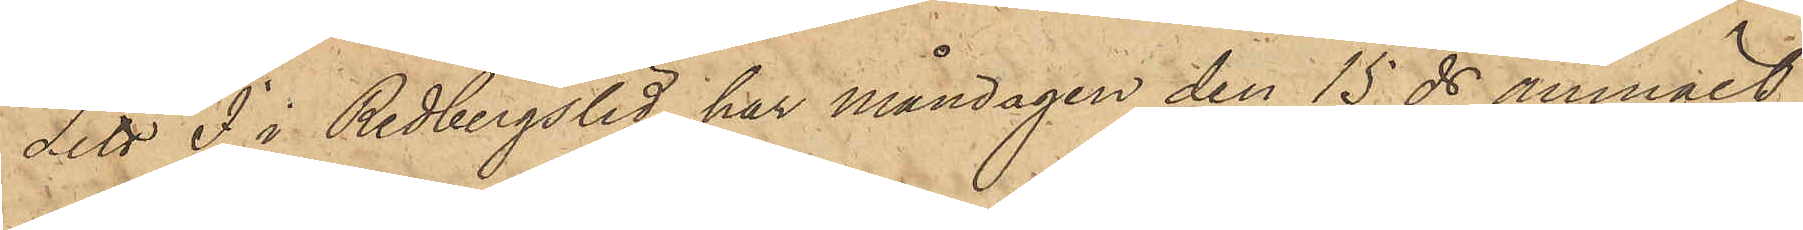Litt. I i Redbergslid har måndagen den 15 ds anmält
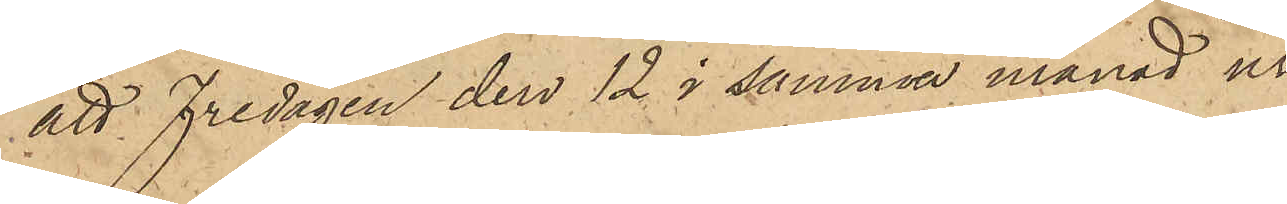att Fredagen den 12 i samma månad ur
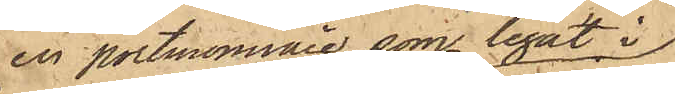en portmonnaie, som legat i
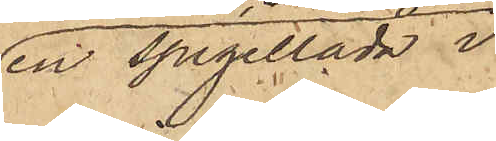en spegellåda i
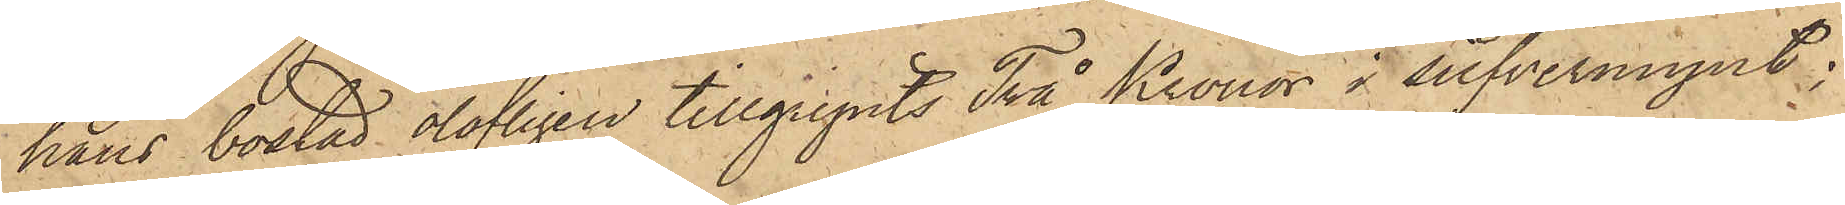hans bostad olofligen tillgripits Två Kronor i silfvermynt;
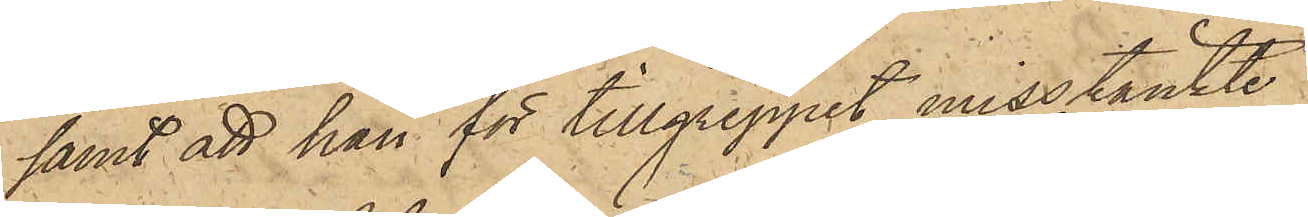samt att han för tillgreppet misstänkte
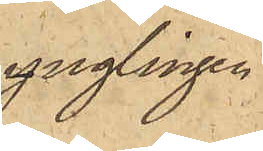ynglingen
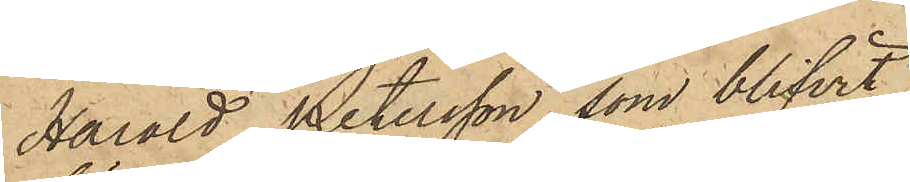Harald Petersson, som blifvit
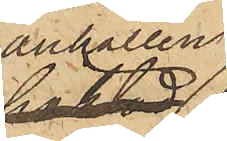anhållen
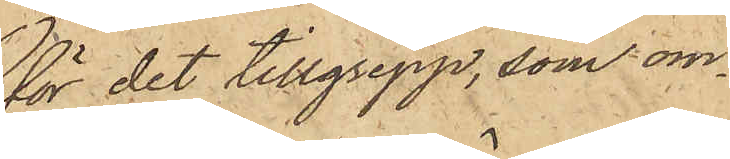för det tillgrepp, som om¬
